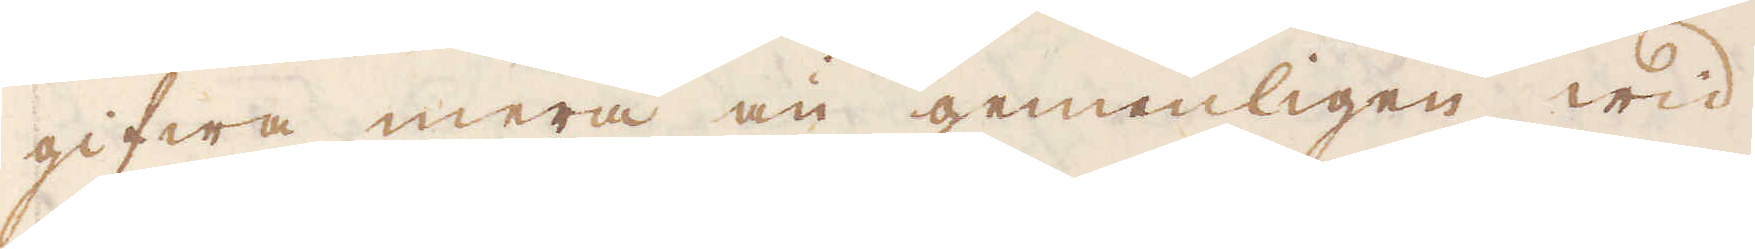gifwa mera än gemenligen wid
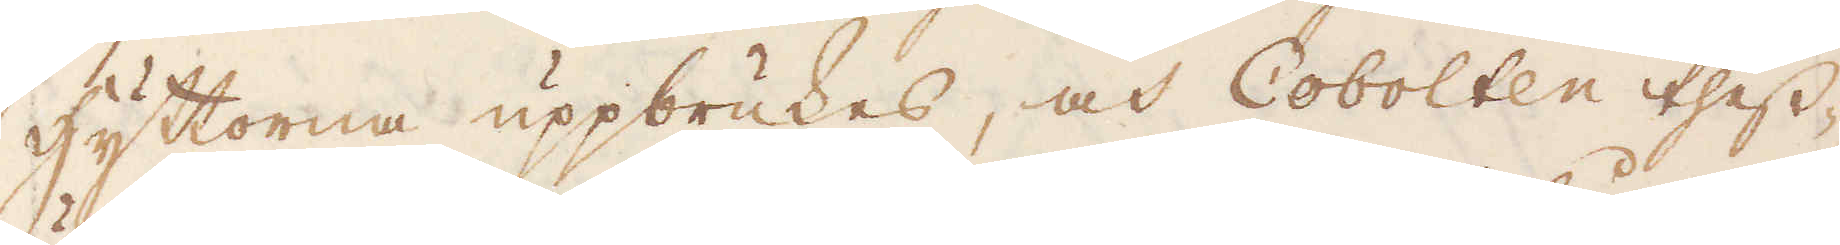Hyttorna uppbrukes, och Cobolten thess-
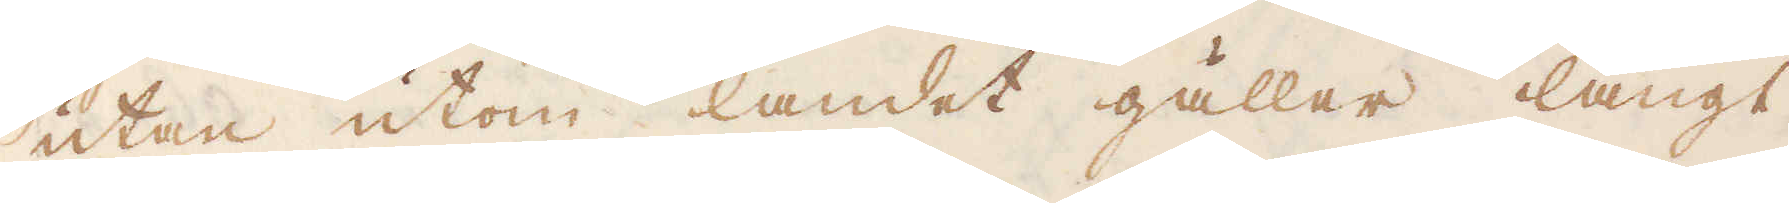utan utom landet gäller långt
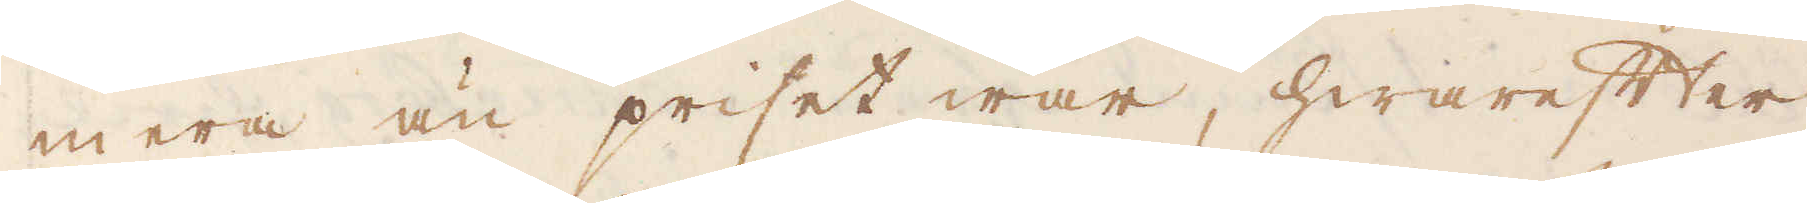mera än priset war, hwarefter
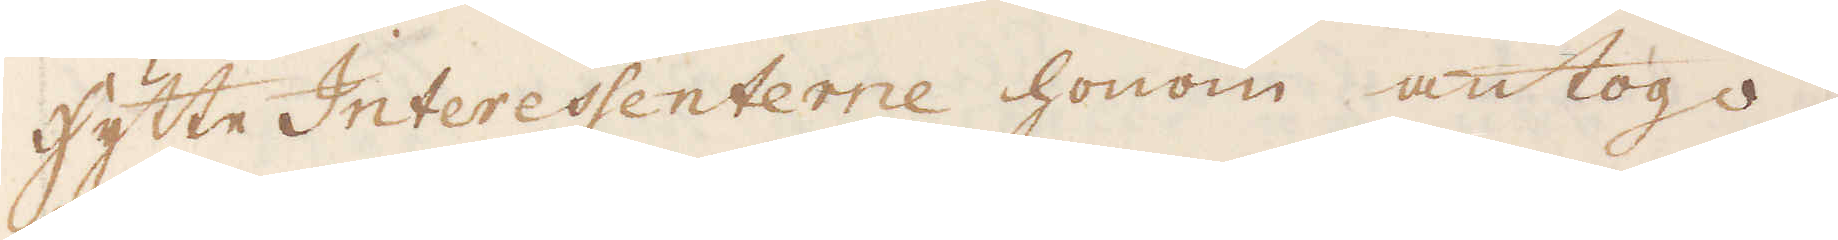Hytte Interessenterne honom antogo,
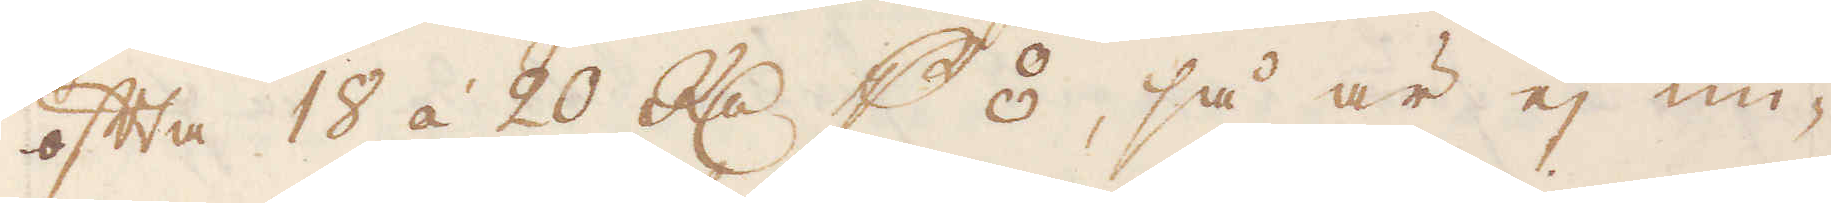ofta 18 á 20 R:dr p ⦂, så är ej un-
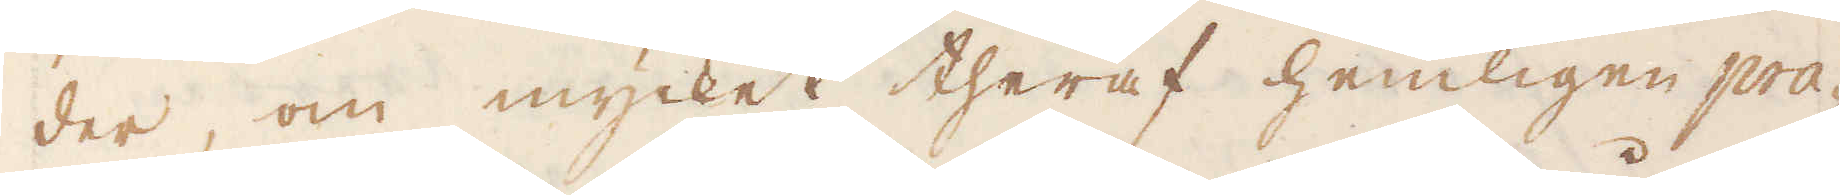der, om mycket theraf hemligen pra-
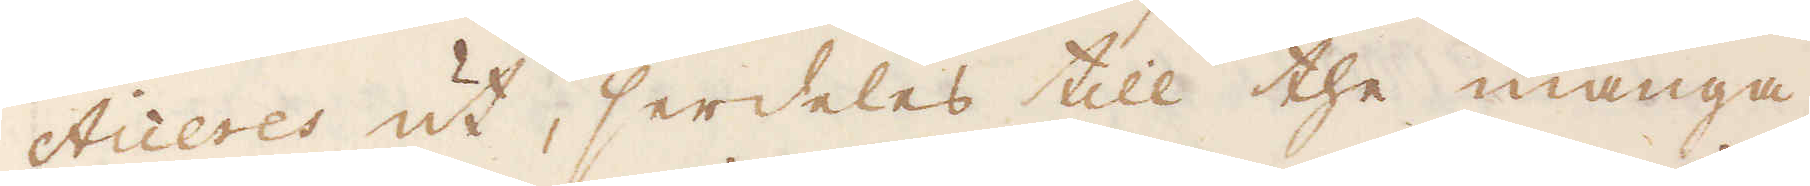cticeres ut, serdeles till the många
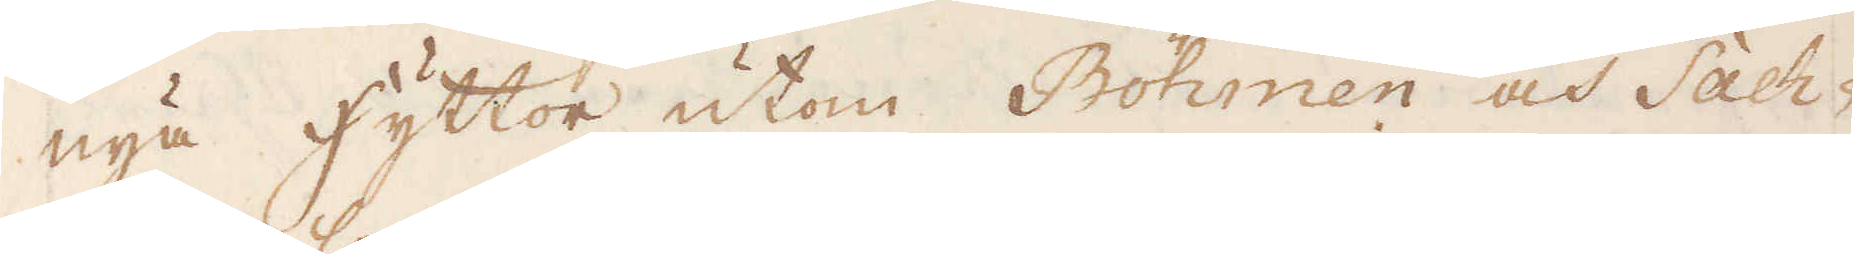nya hyttor utom Böhmen och Sach-
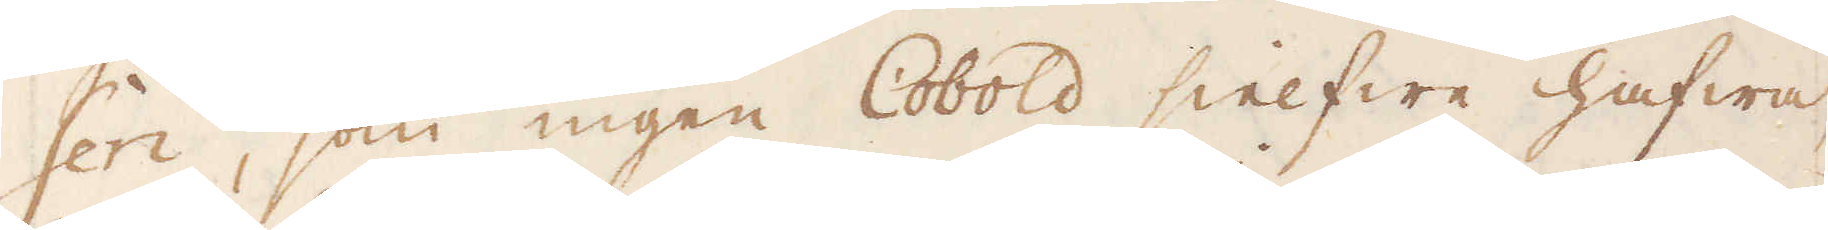sen, som ingen Cobold sielfwe hafwa,
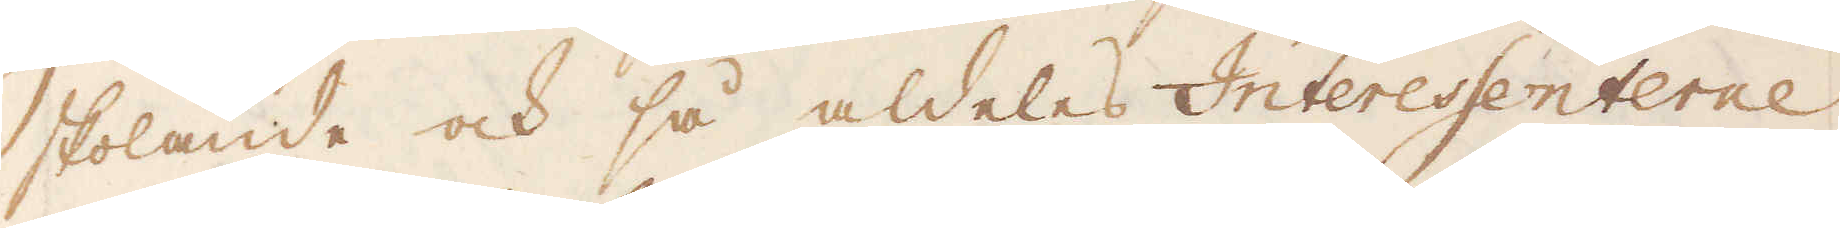skolande och så aldeles Interessenterne
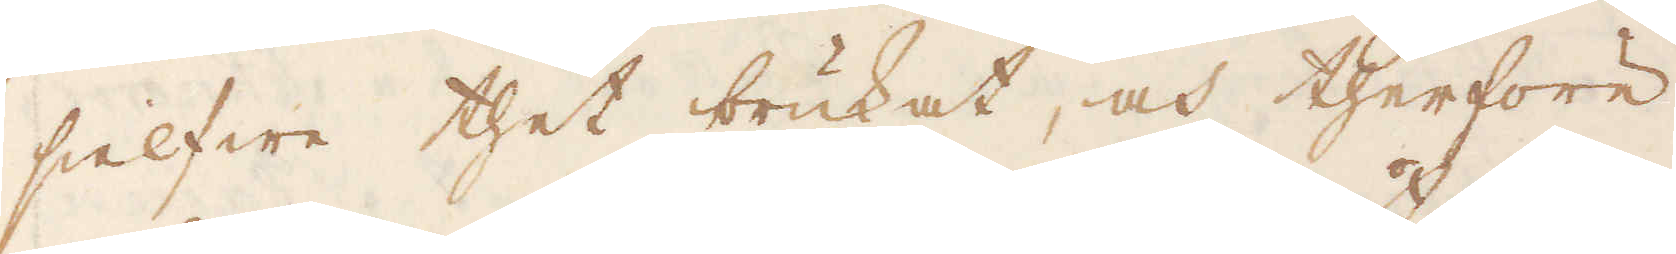sielfwe thet brukat, och therföre
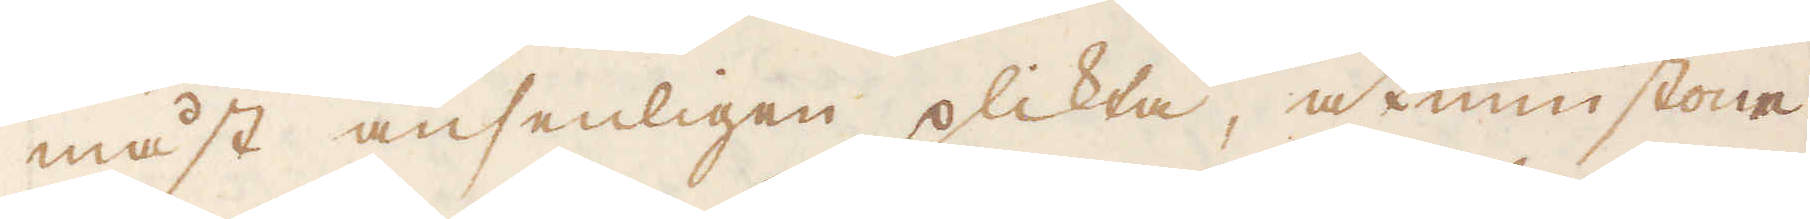måst ansenligen plikta, åtminstone
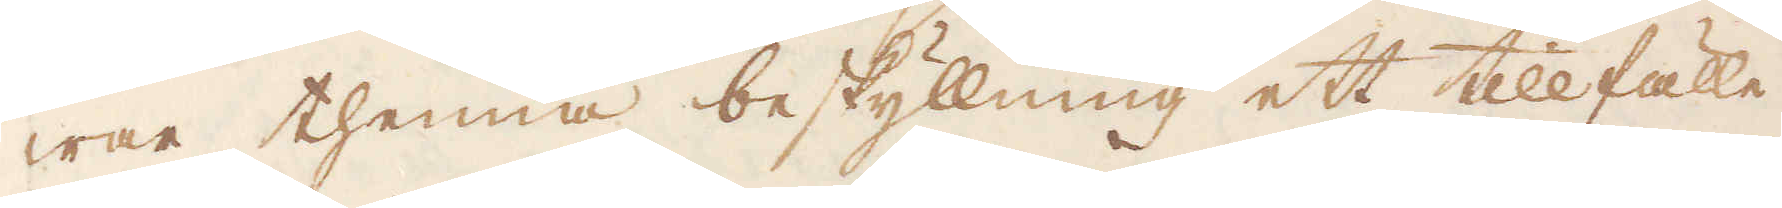war thenna beskyllning ett tillfälle
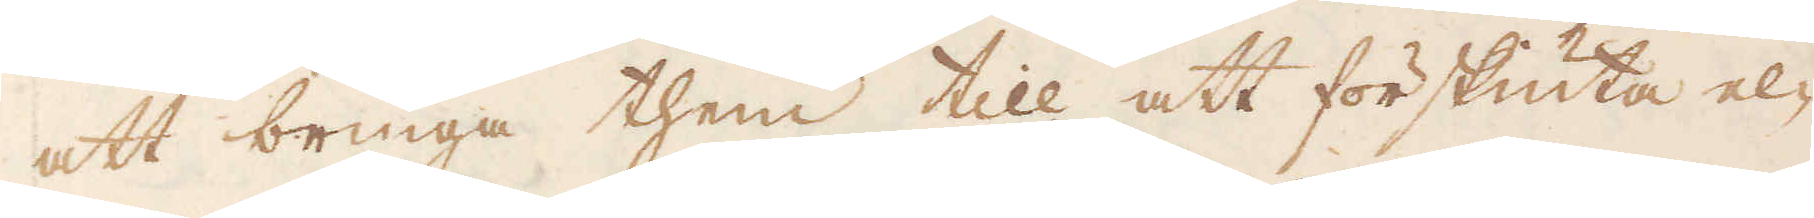att bringa them till att förskiuta el-
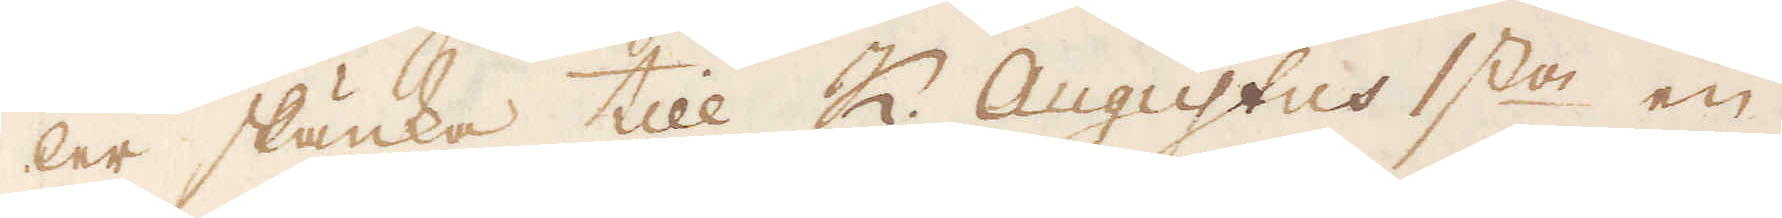ler skänka till K. Augustus 1:sta en
